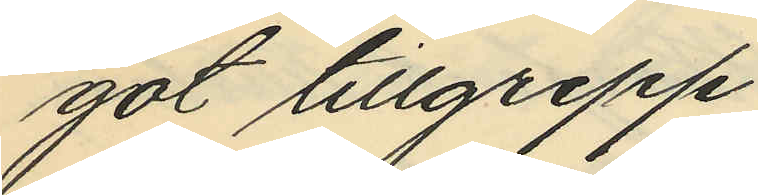got tillgrepp.
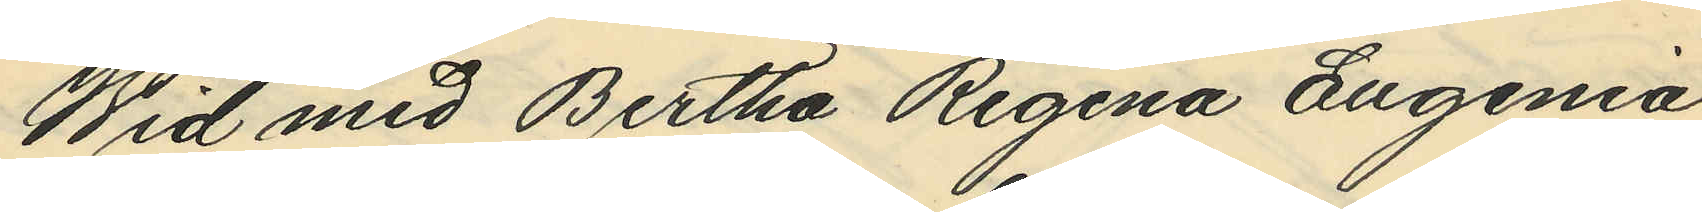Wid med Bertha Regina Engenia
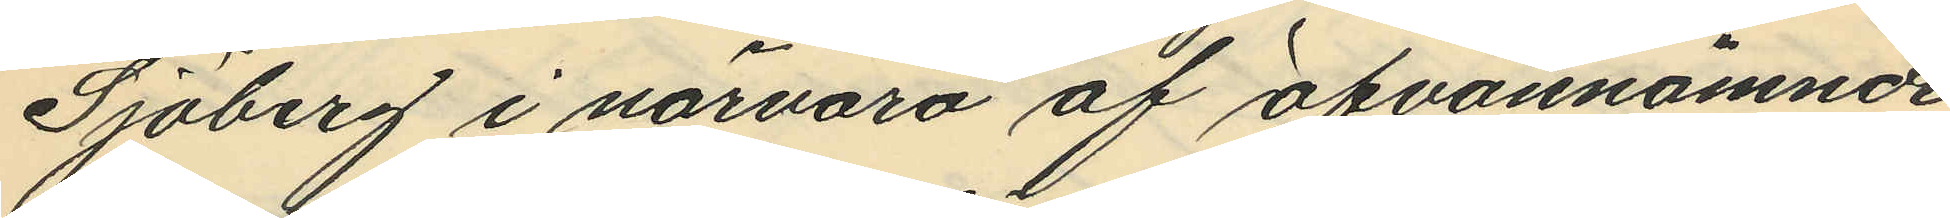Sjöberg i närvaro af ofvannämnde
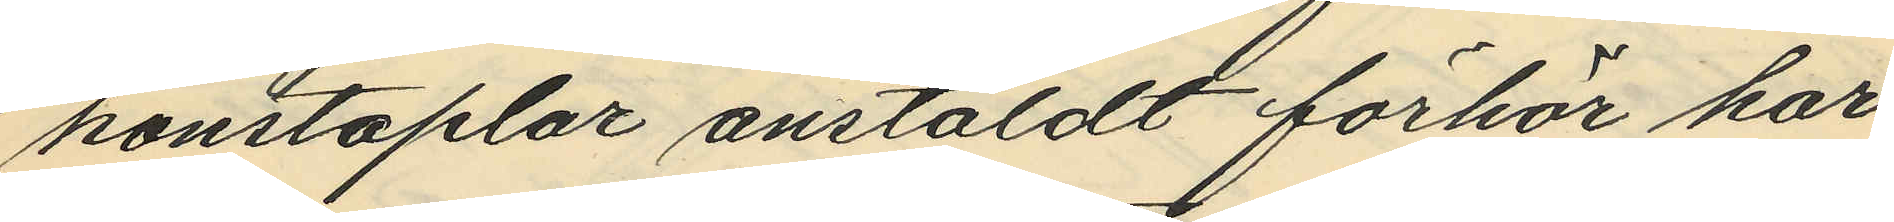konstaplar anstäldt förhör har
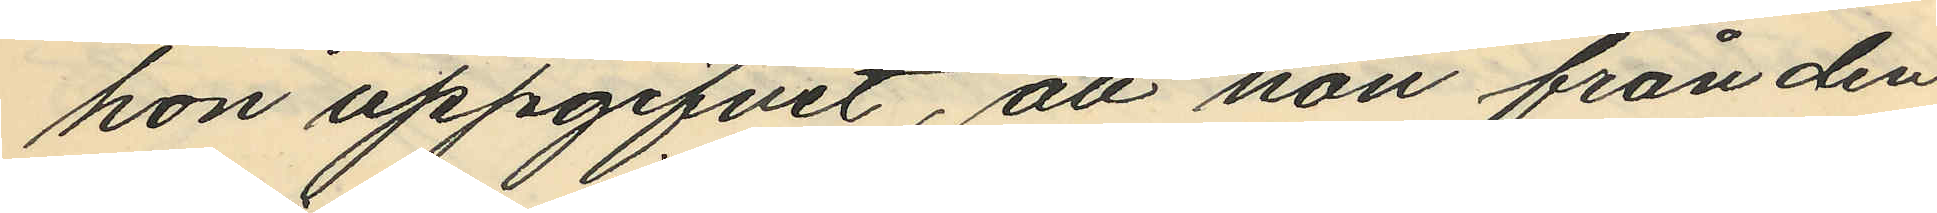hon uppgifvit, att hon från den
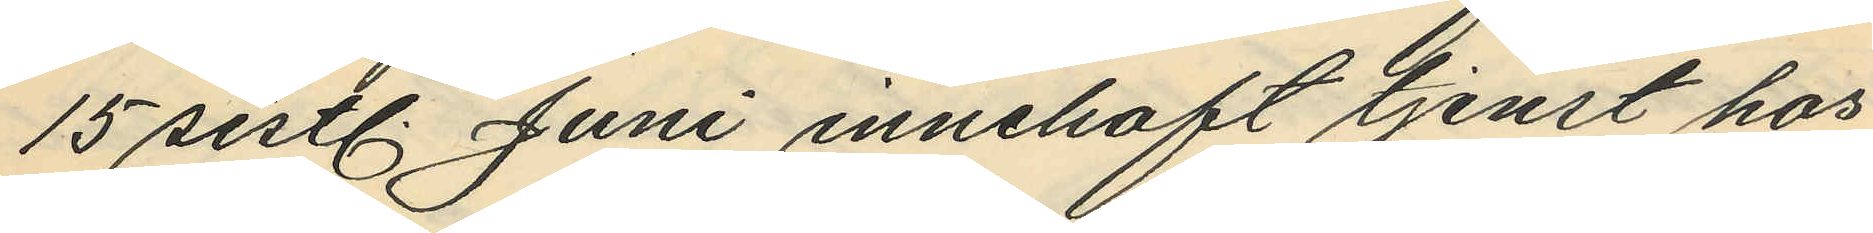15 sistl. Juni innehaft tjenst hos
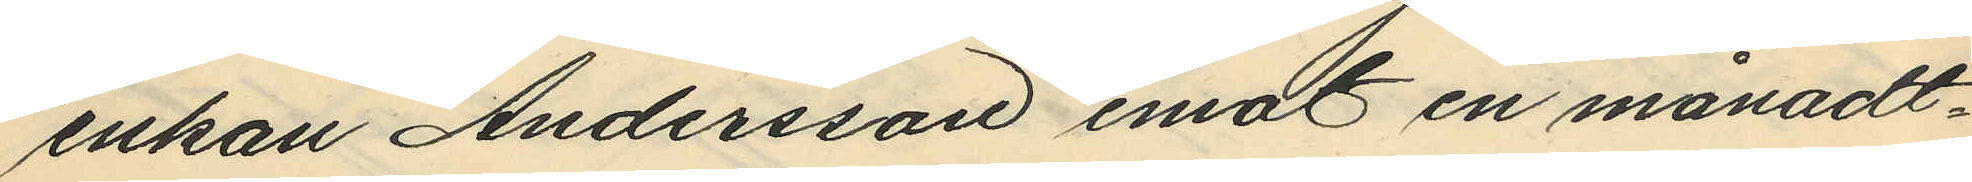enkan Andersson emot en månadt¬
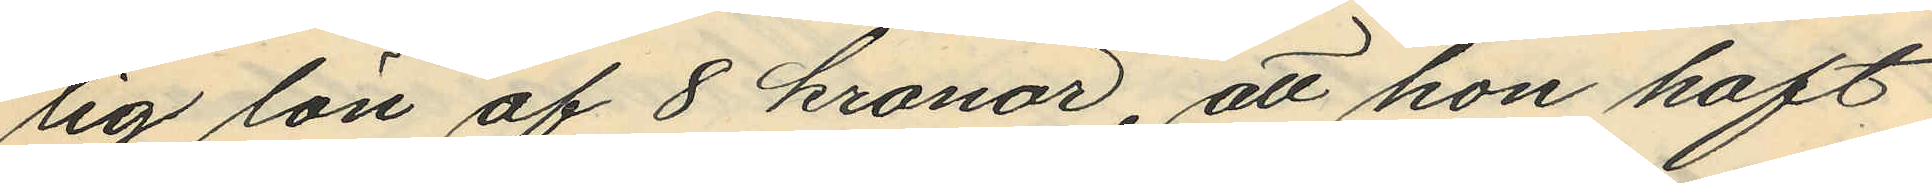lig lön af 8 kronor, att hon haft
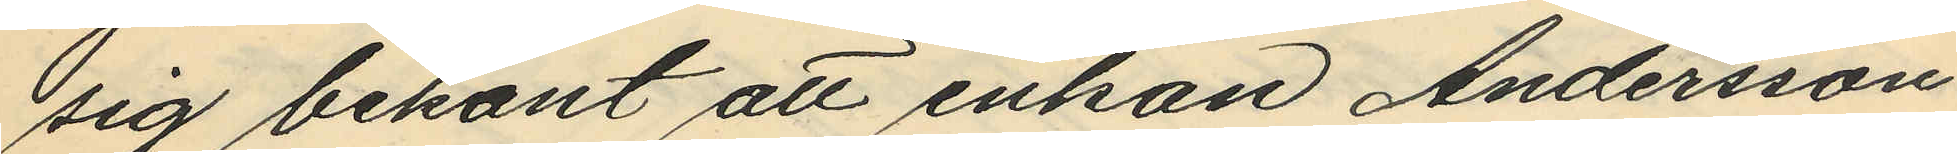sig bekant att enkan Andersson
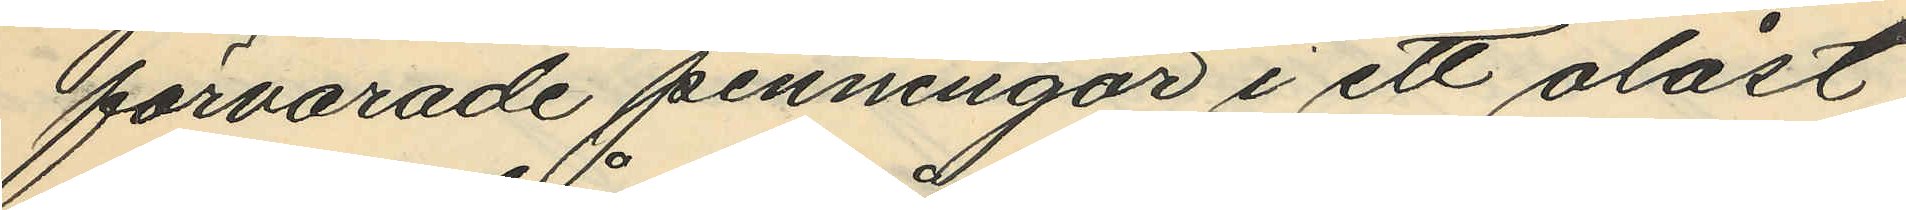förvarade penningar i ett olåst
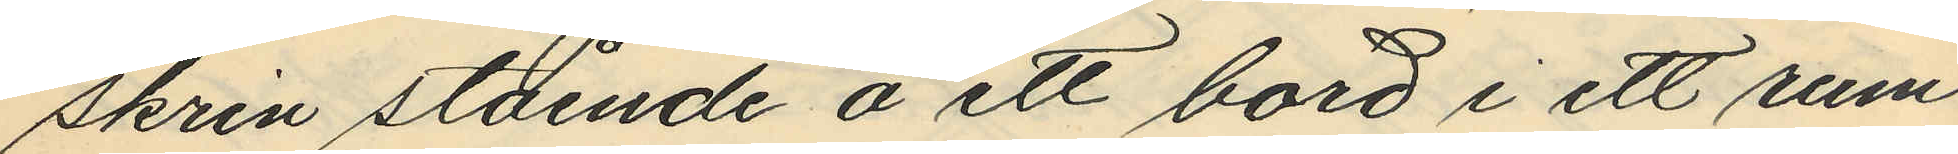skrin stående å ett bord i ett rum
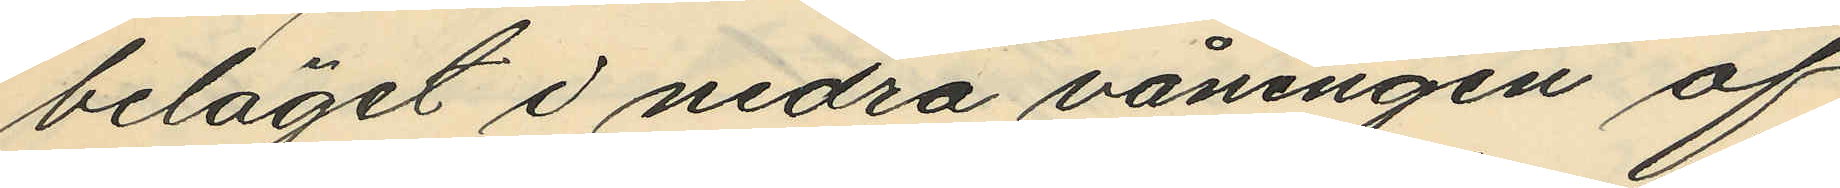beläget i nedra våningen af
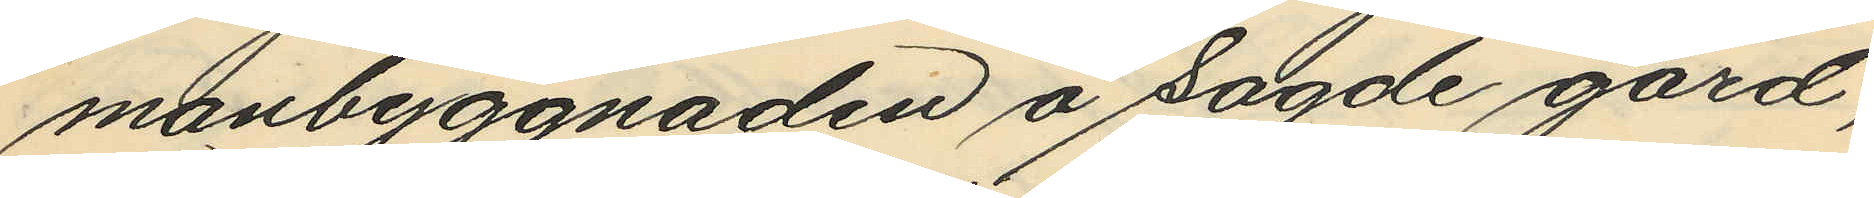manbyggnaden å sagde gård;
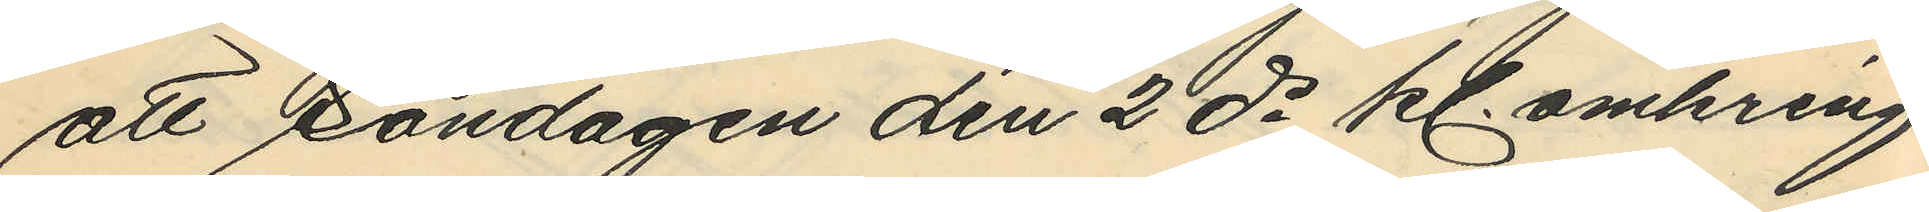att Söndagen den 2 ds kl. omkring
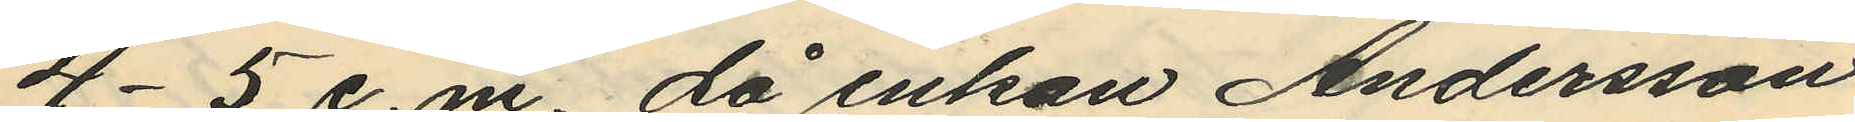4-5 e.m, då enkan Andersson
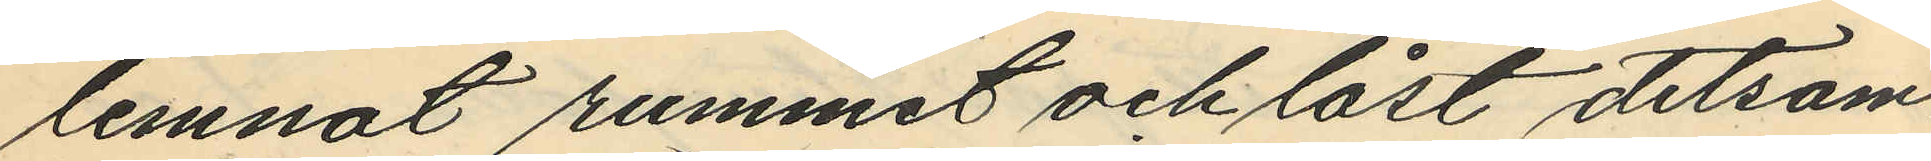lemnat rummet och låst detsam¬
